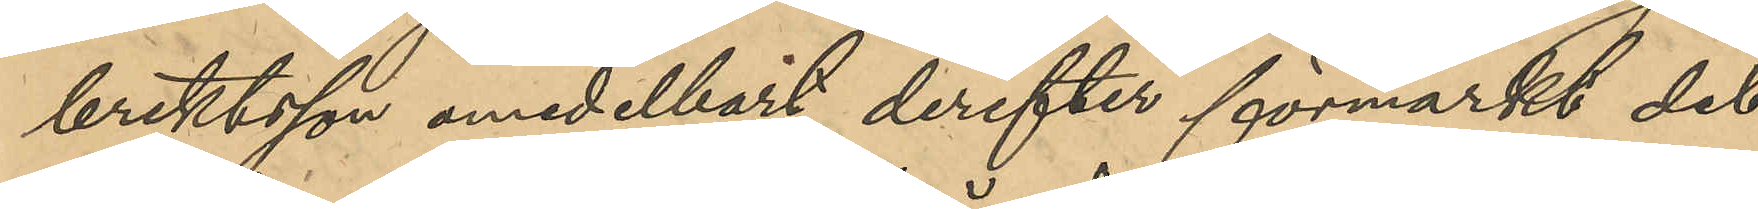brektsson omedelbart derefter förmärkt det
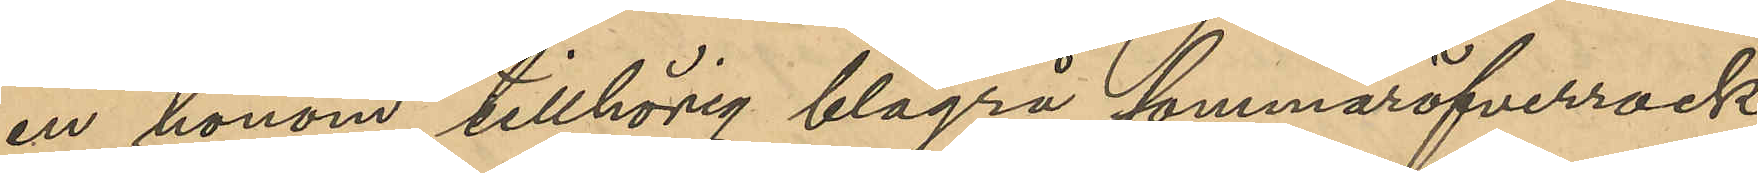en honom tillhörig blågrå sommaröfverrock,
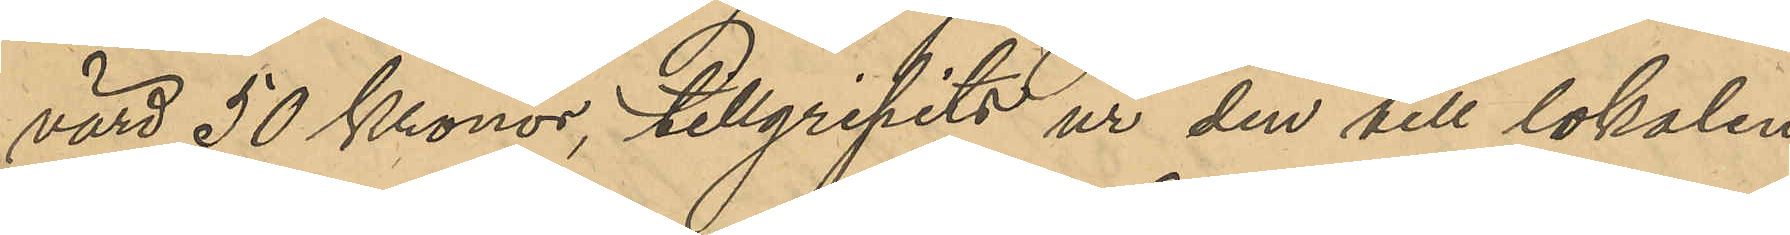värd 50 Kronor, tillgripits ur den till lokalen
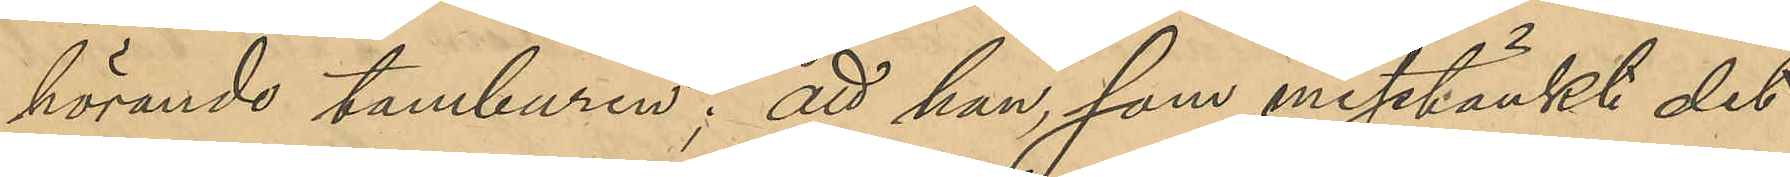hörande tamburen; att han som misstänkt det
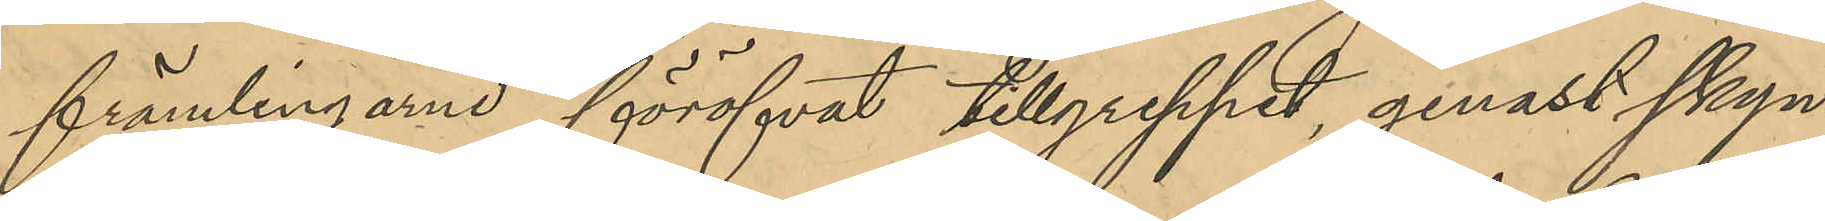främlingarne föröfvat tillgreppet, genast skyn¬
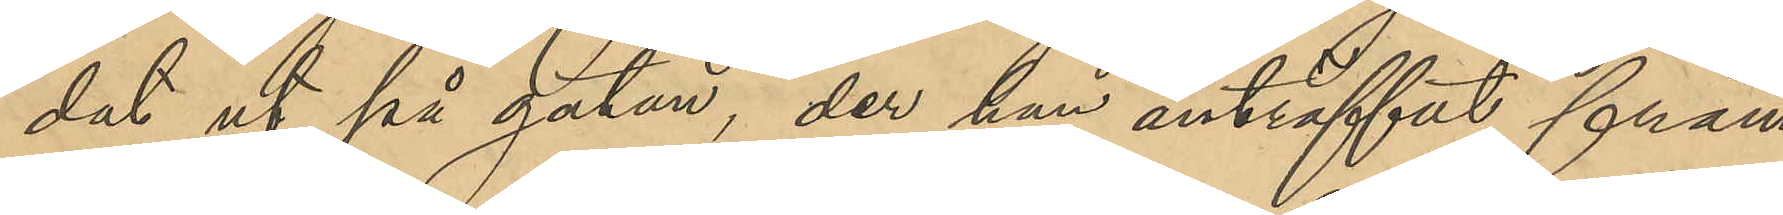dat ut på gatan, der han anträffat främ¬
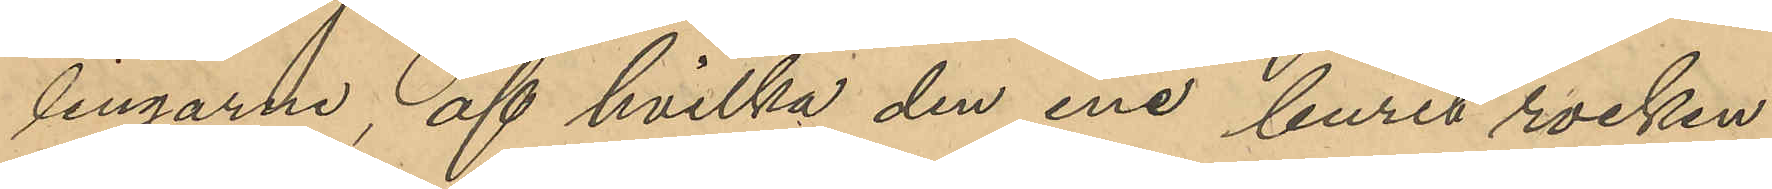lingarne, af hvilka den ene burit rocken;
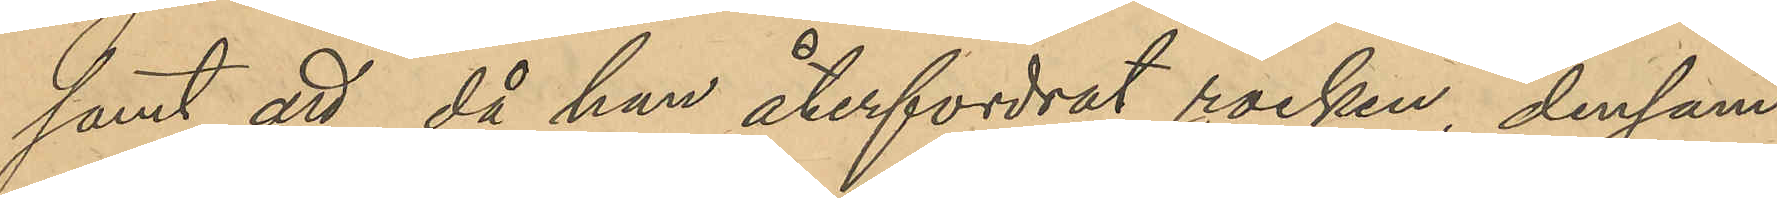samt att, då han återfordrat rocken, densam¬
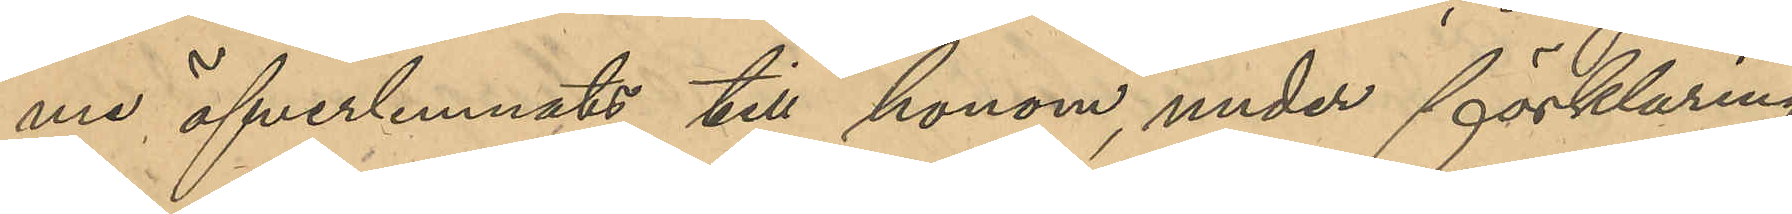me öfverlemnats till honom, under förklaring
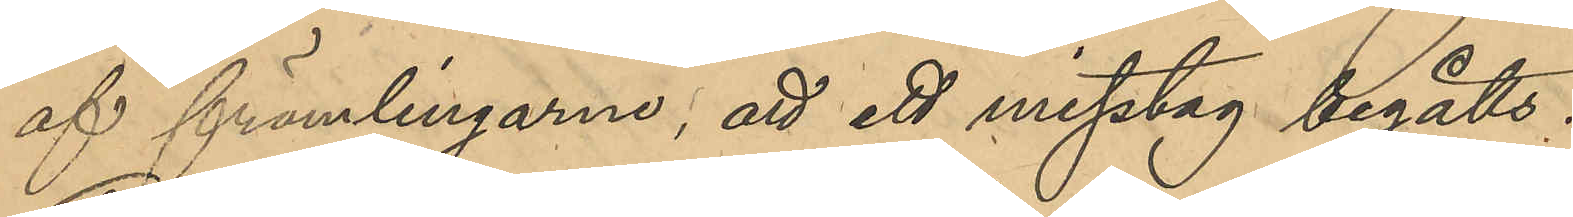af främlingarne, att ett misstag begåtts.
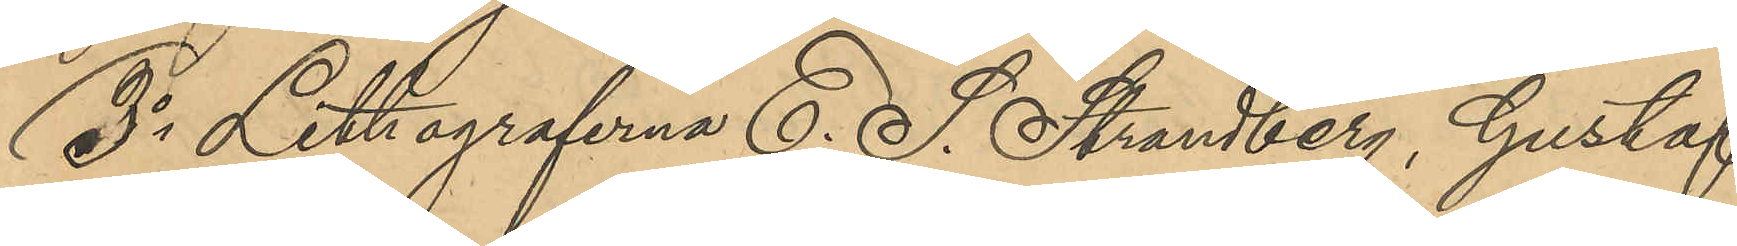3o Lithograferna E. S. Strandberg, Gustaf
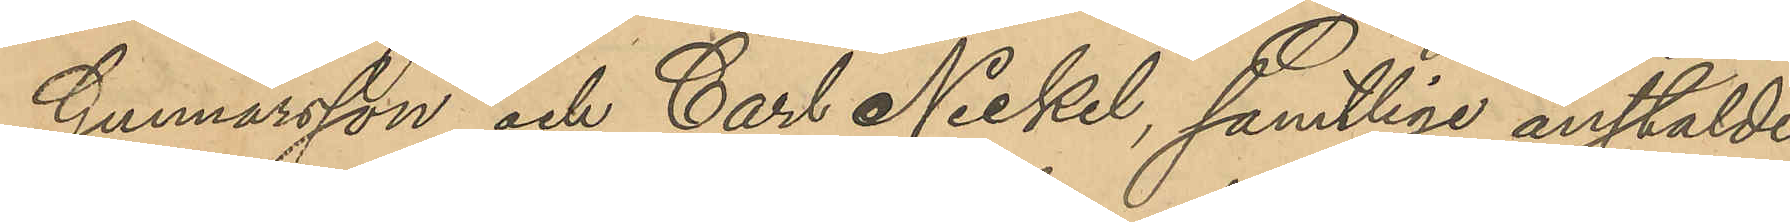Gunnarsson och Carl Nickel, samtlige anstälde
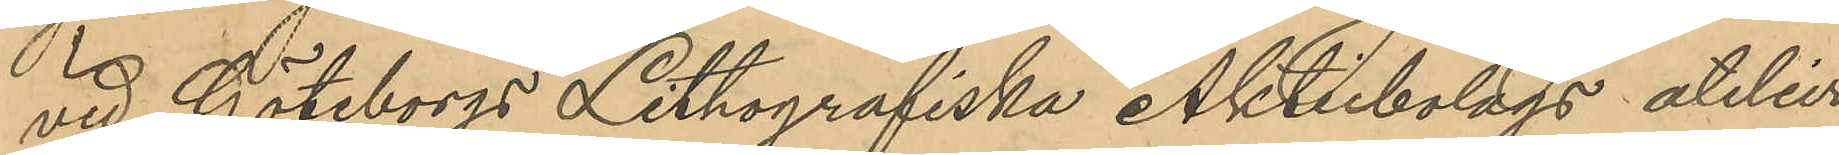vid Göteborgs Lithografiska Aktiebolags atelier
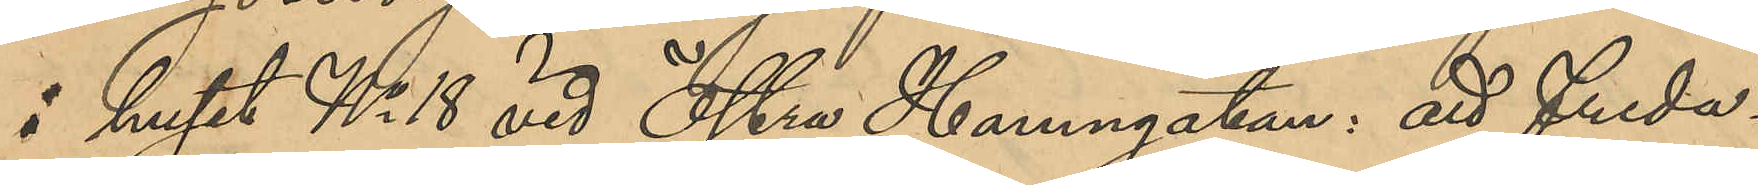i huset No 18 vid Östra Hamngatan: att freda¬
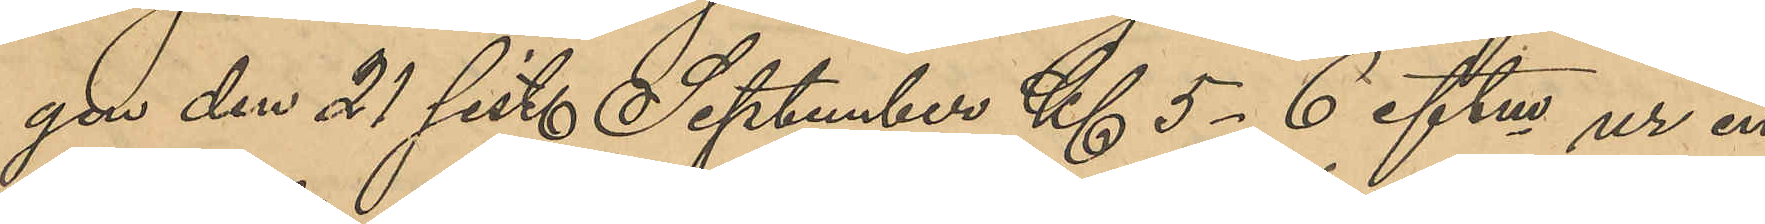gen den 21 sist. September Kl 5-6 eftm ur en
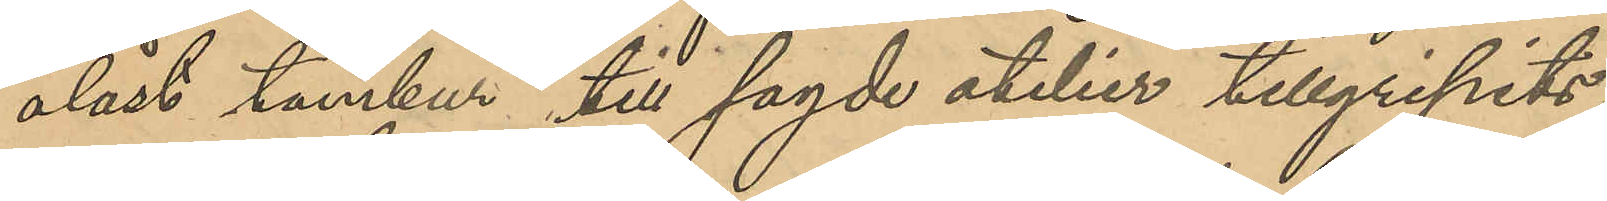olåst tambur till sagde atelier tillgripits:
